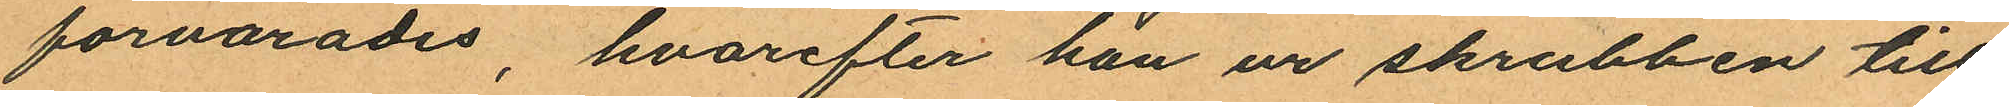förvarades, hvarefter han ur skrubben till
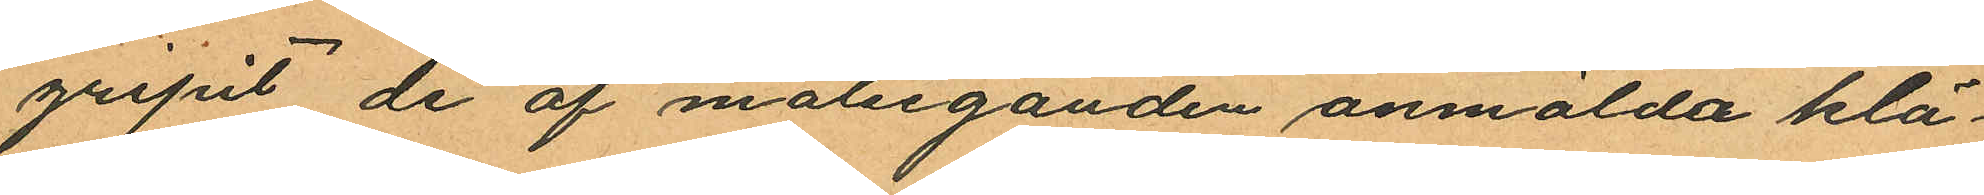gripit de af målseganden anmälda klä¬
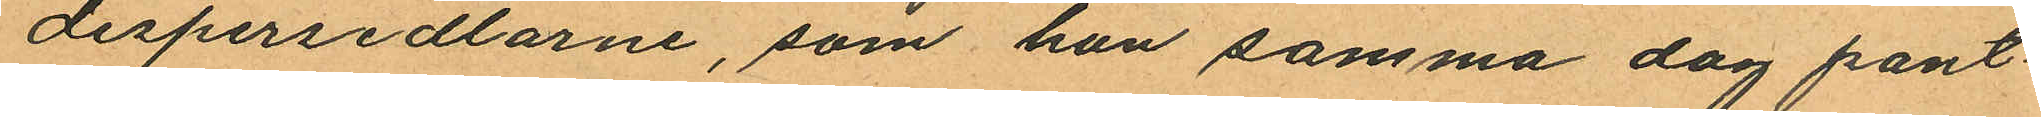despersedlarne, som han samma dag pant¬
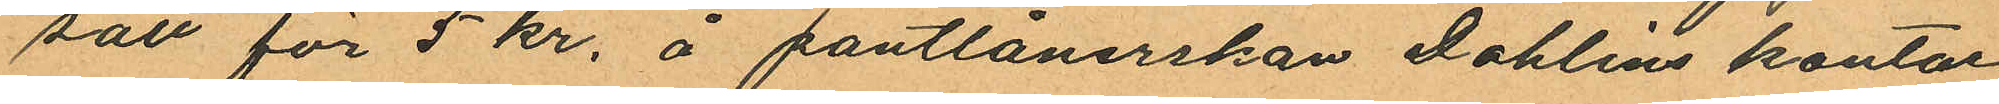satt för 5 kr. å pantlånerskan Dahlins kontor
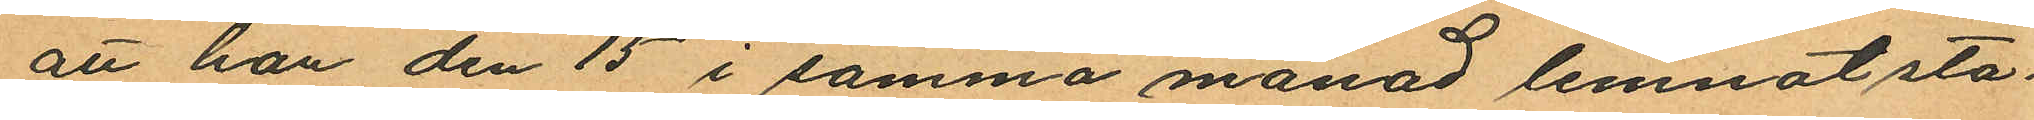att han den 15 i samma månad lemnat sta¬
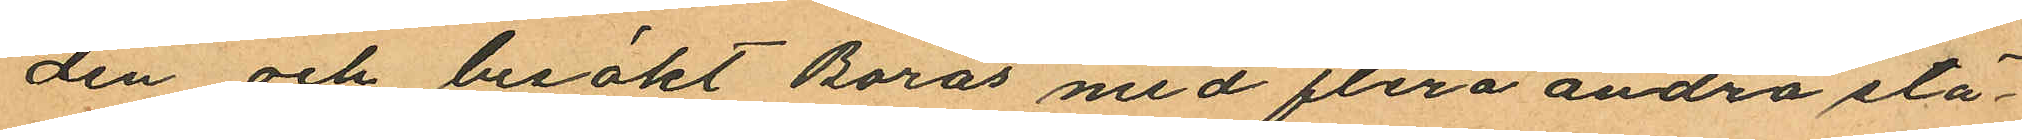den och besökt Borås med flera andra stä¬
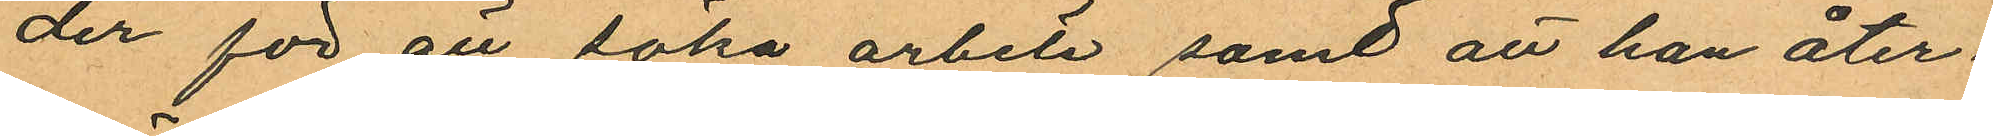der för att söka arbete samt att han åter¬
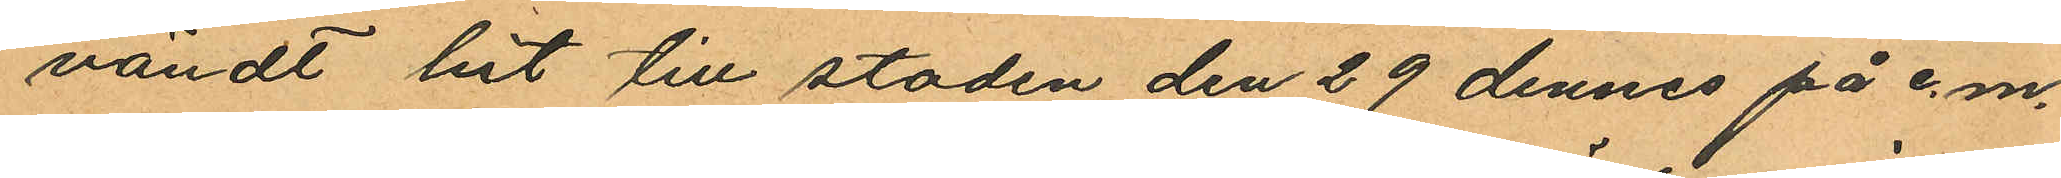vändt hit till staden den 29 dennes på e.m.
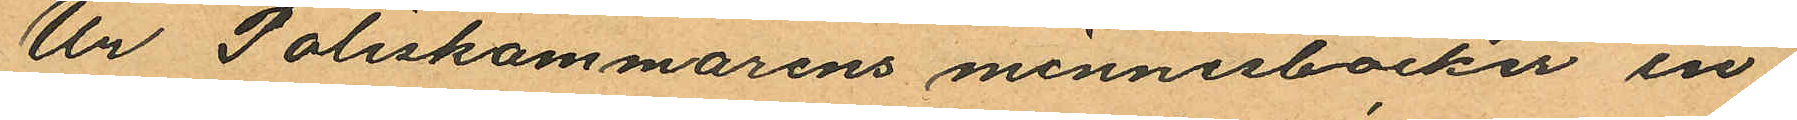Ur Poliskammarens minnesböcker in¬
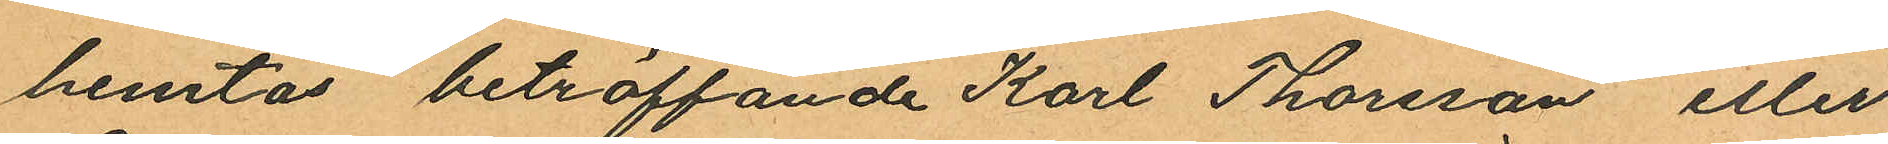hemtas beträffande Karl Thorsson eller
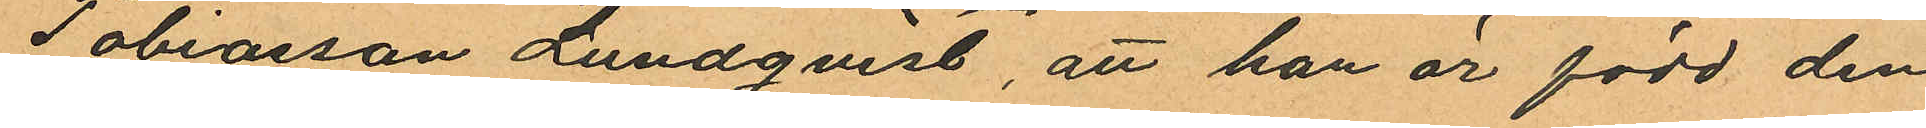Tobiasson Lundqvist, att han är född den
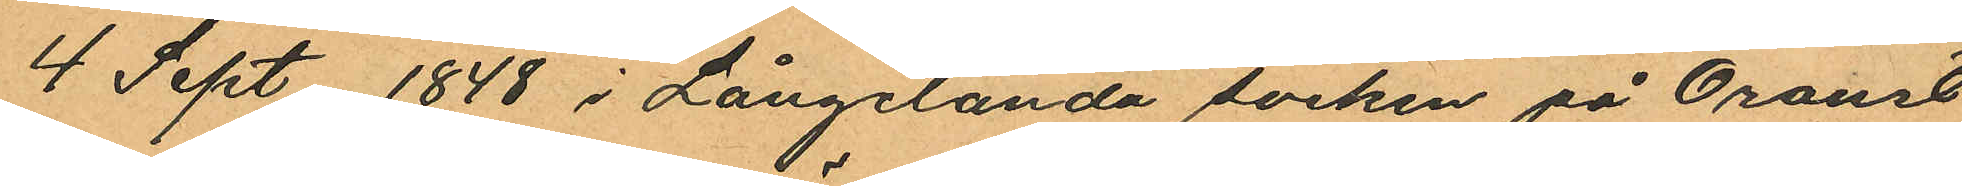4 Sept 1848 i Långelanda socken på Oroust
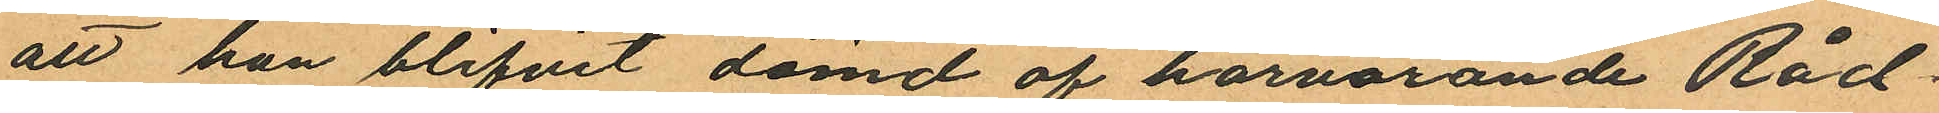att han blifvit dömd af härvarande Råd
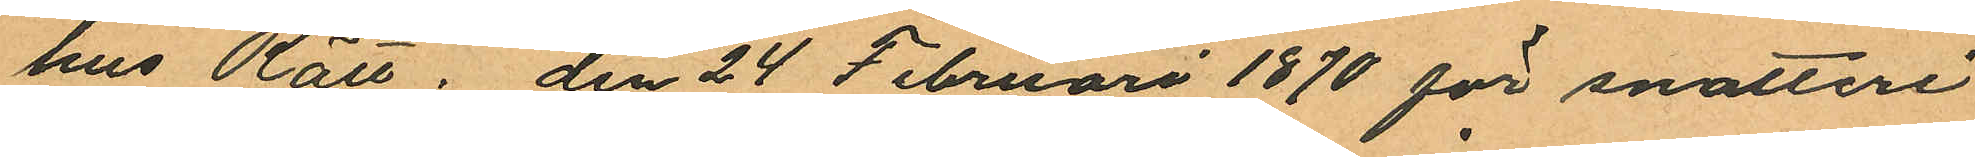hus Rätt, den 24 Februari 1870 för snatteri
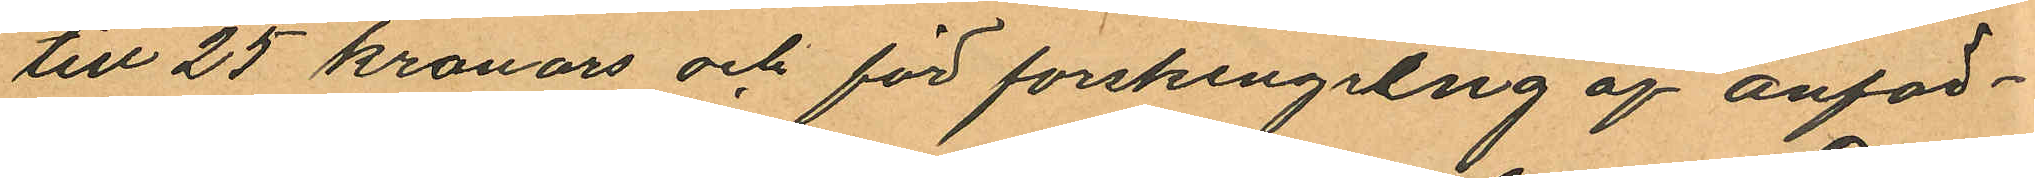till 25 kronors och för forskingring af anför¬
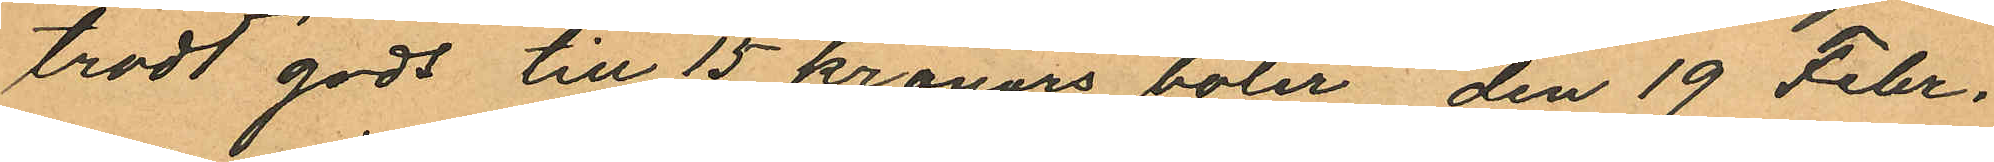trodt gods till 15 kronors böter, den 19 Febr.
